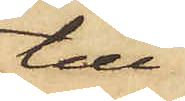till¬
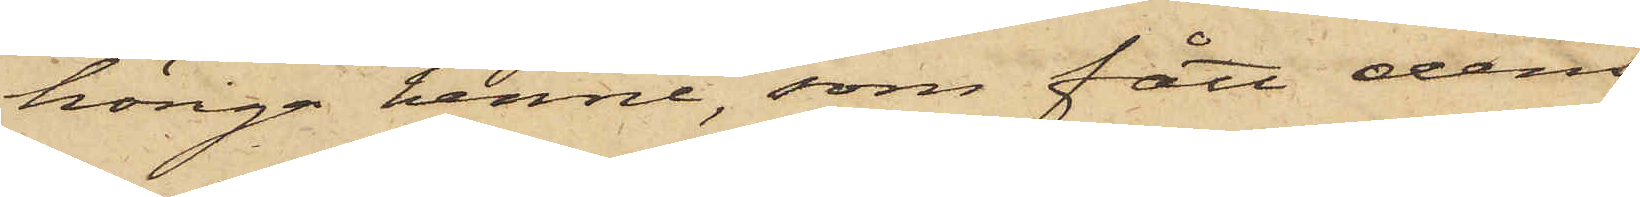höriga henne, som fått dem
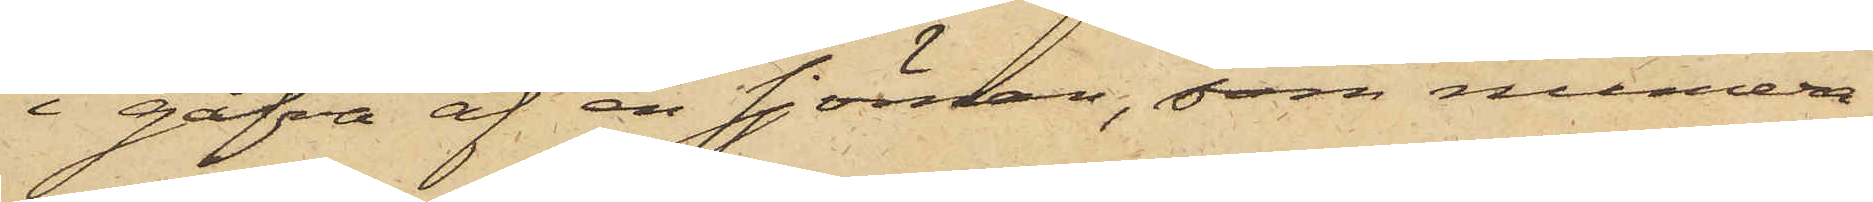i gåfva af en sjöman, som numera
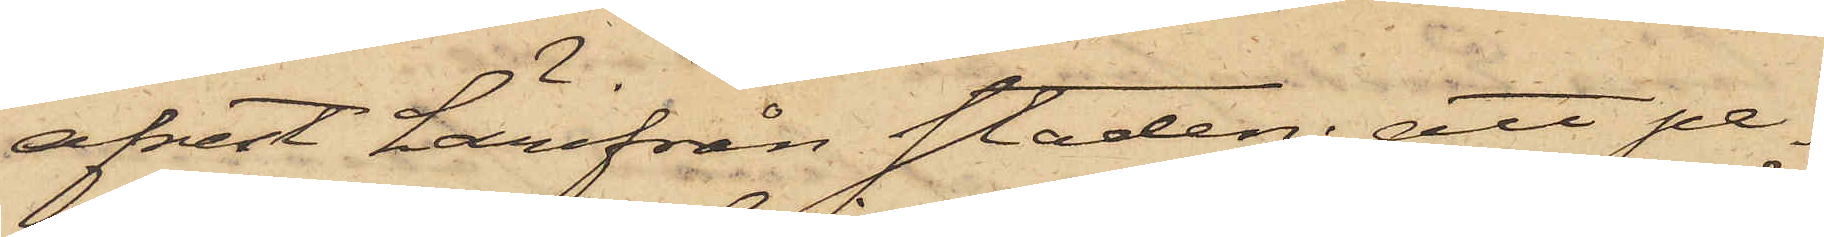afrest härifrån staden; att pa¬
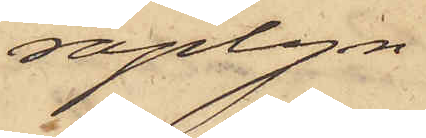raplyn
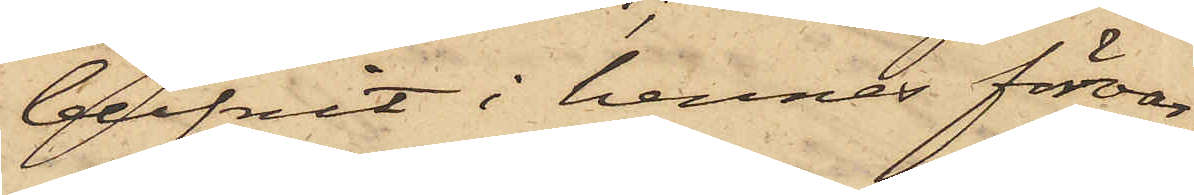blifvit i hennes förvar
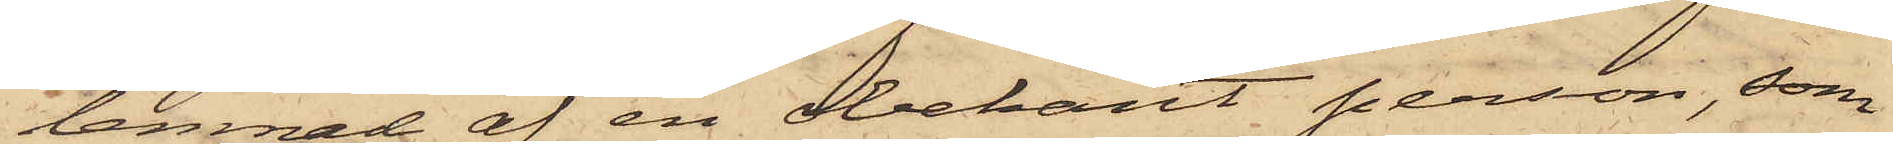lemnad af en obekant person, som
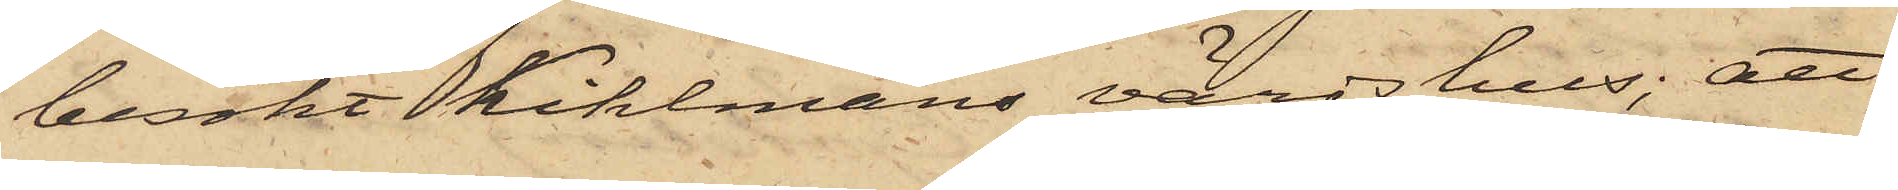besökt Kihlmans värdshus; att
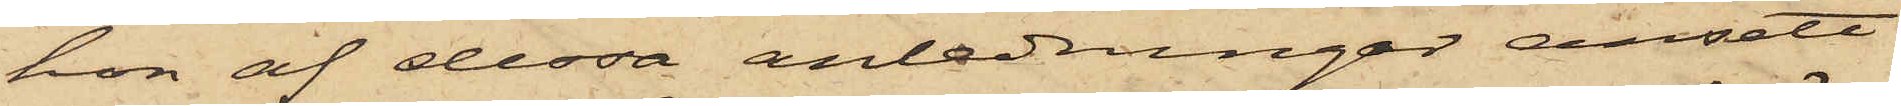hon af dessa anledningar ansett
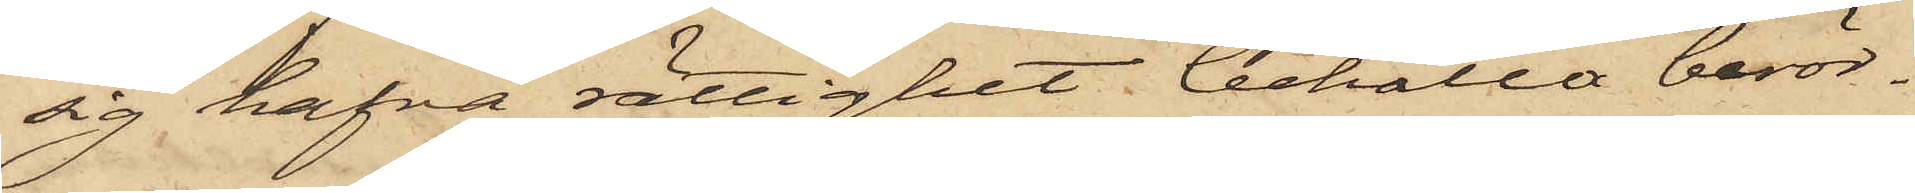sig hafva rättighet behålla berör¬
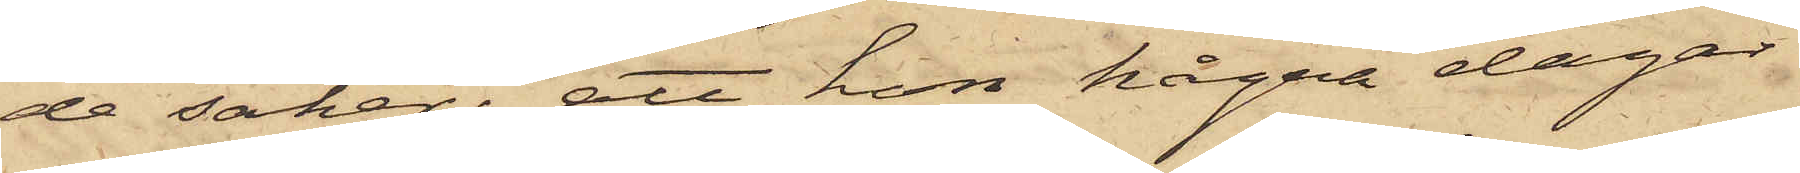de saker; att hon några dagar
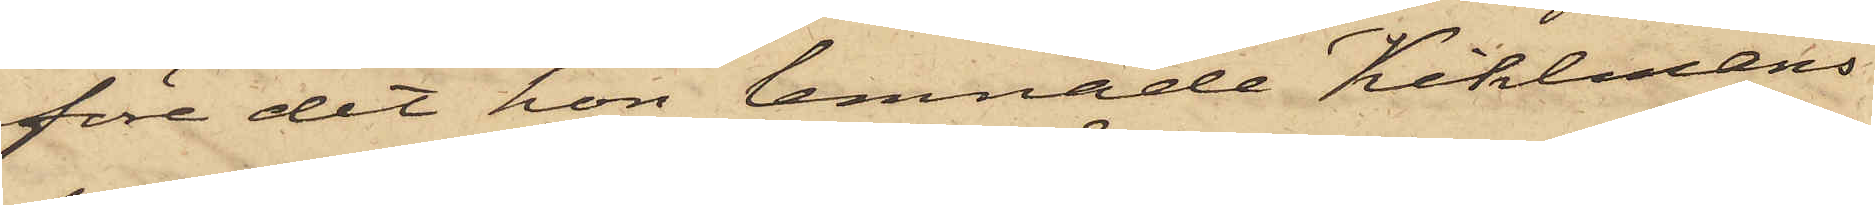före det hon lemnade Kihlmans
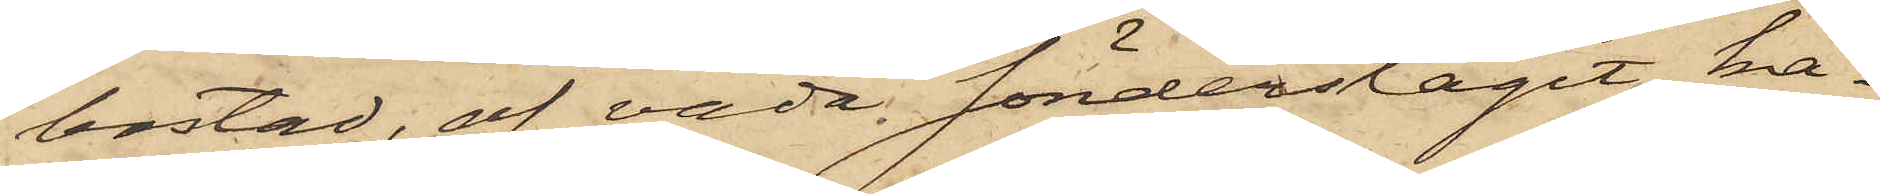bostad, af våda sönderslagit ka¬
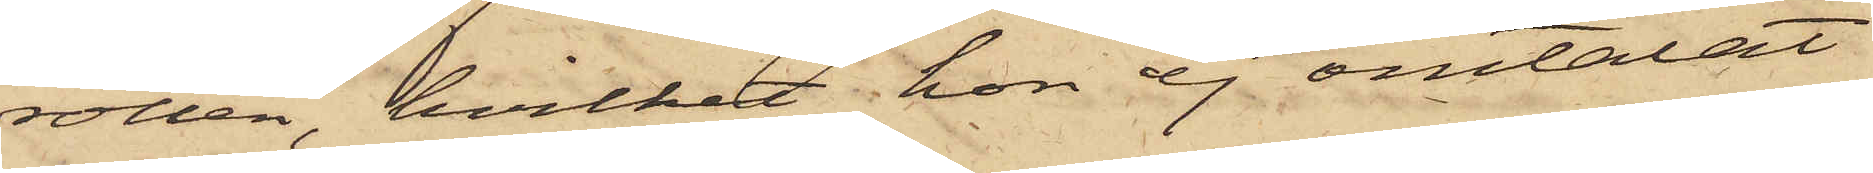rotten, hvilket hon ej omtalat
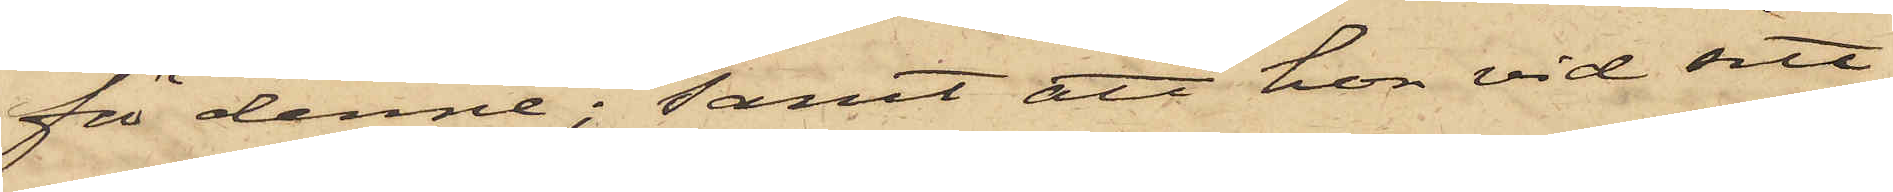för denne; samt att hon vid sitt
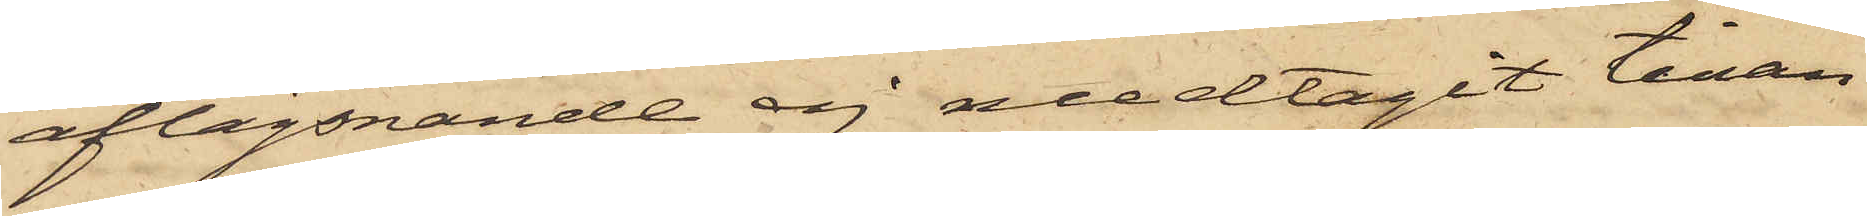aflägsnande ej medtagit tinan
